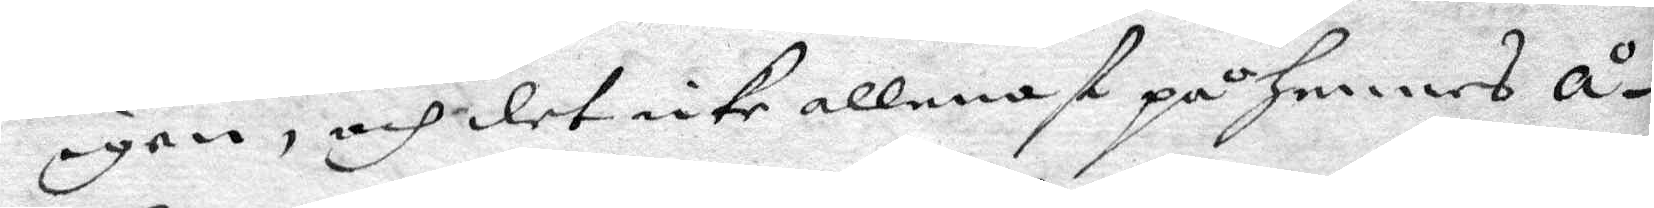igen och det icke allenast på hennes å¬
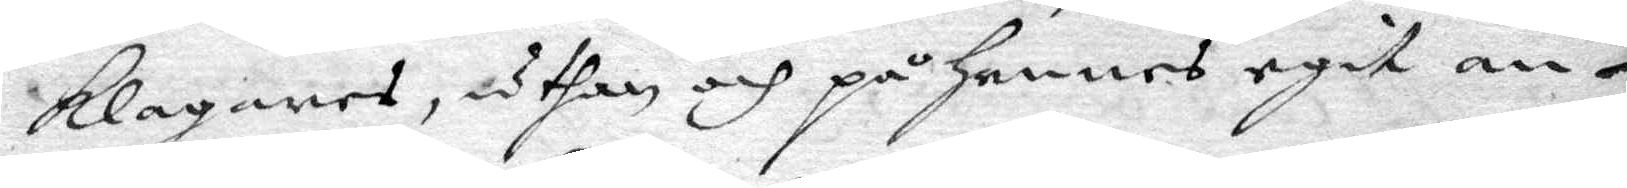klagares, uthan och på hennes egit an¬
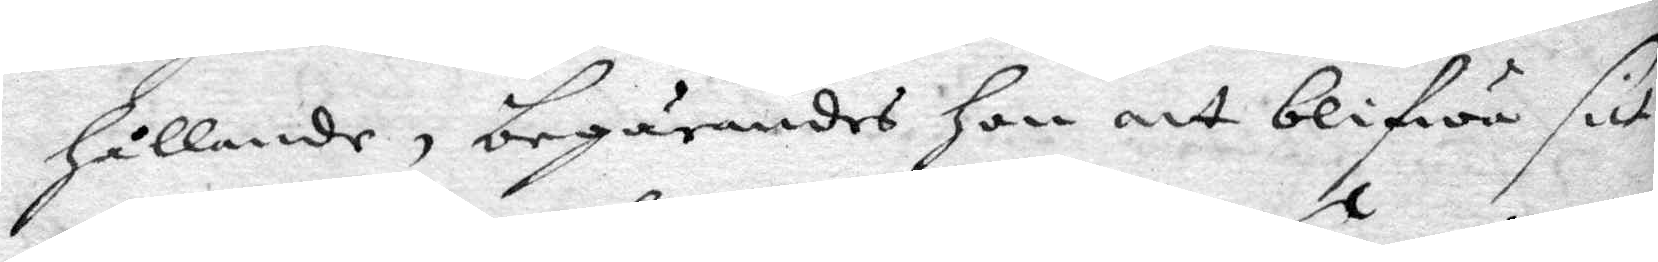hållande, begärandes hon att blifwa sitt
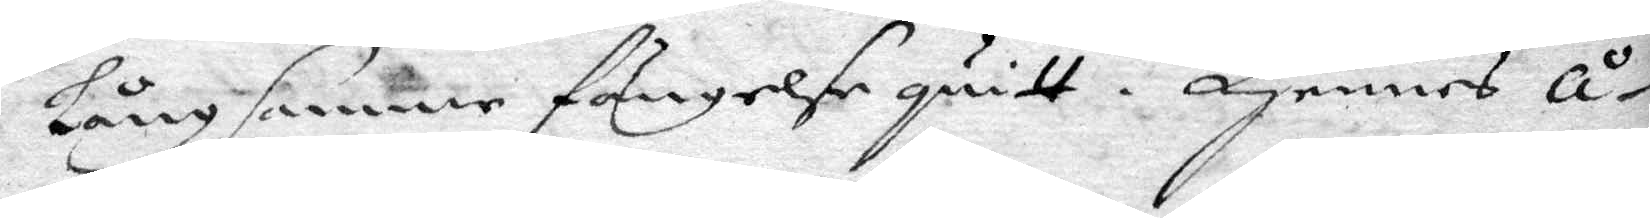långsamme fängelse quitt. Hennes å¬
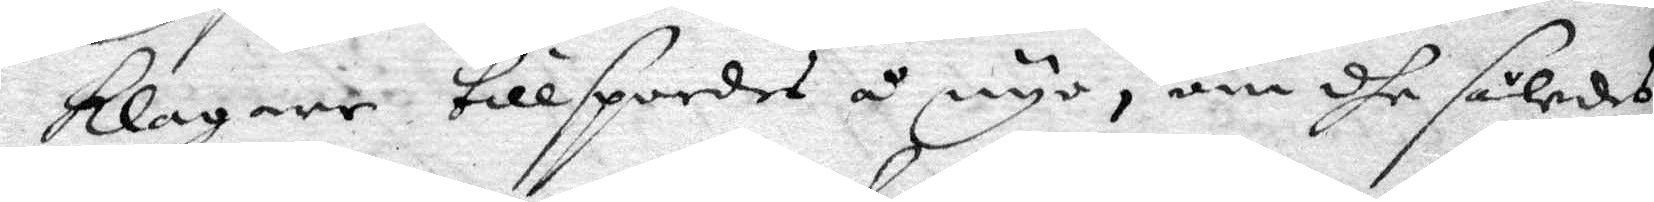klagare tillspordes å nyo, om dhe således
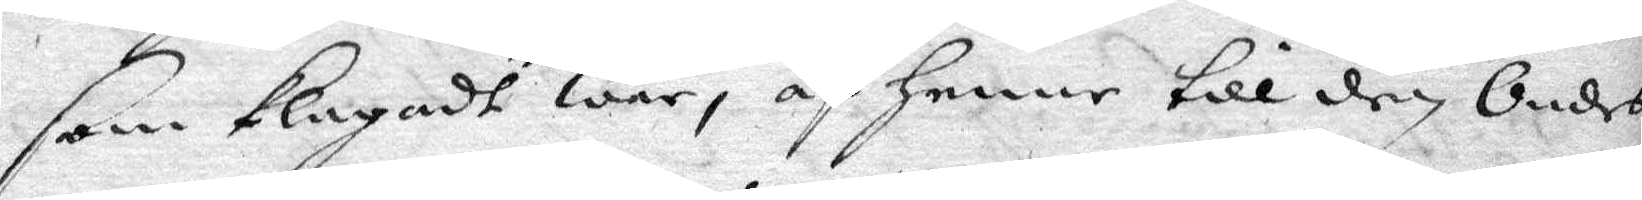som klagat war, af henne till den Ondes
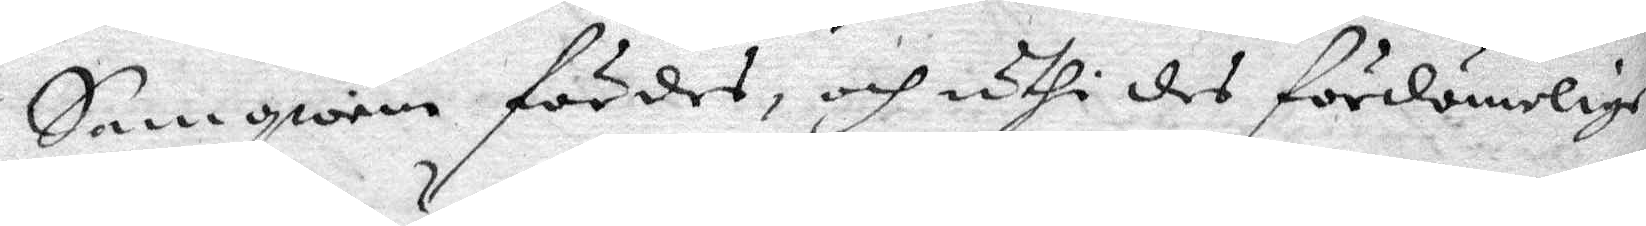Samqwäm fördes, och uthi des fördömelige
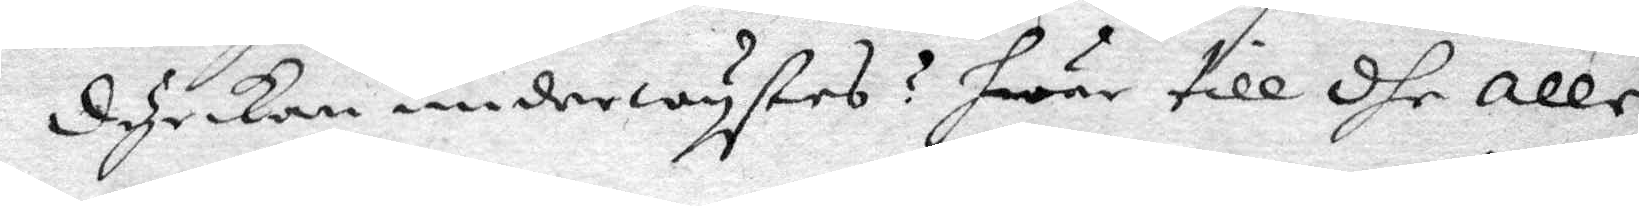dyrkan underwystes? hwar till dhe alle
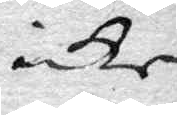icke
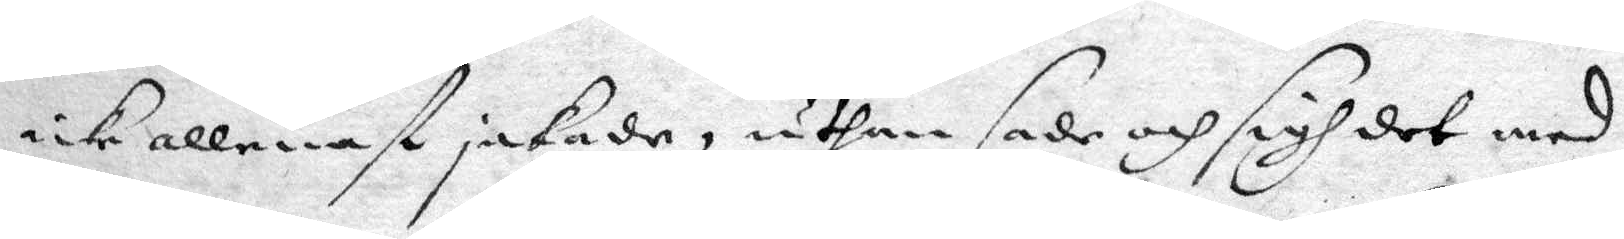icke allenast jakade, uthan sade och sigh det med
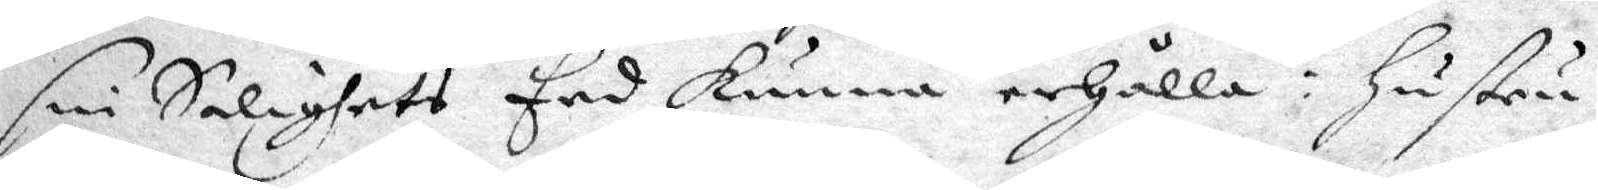sin Salighets Eed kunna erhålla: hustru
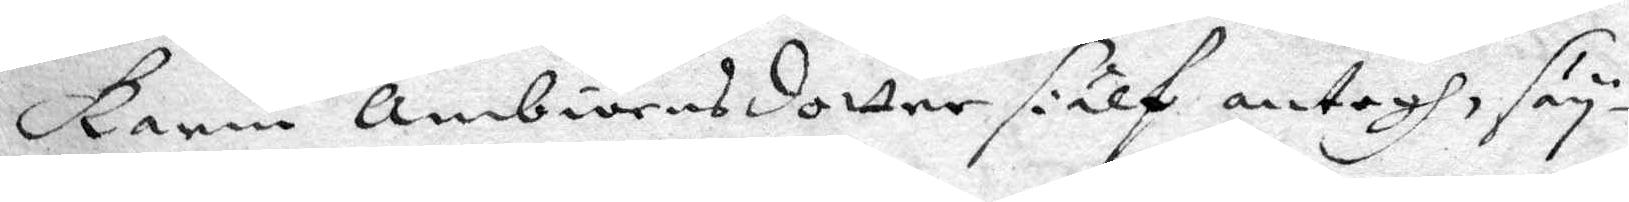Karin Ambiörnsdotter sielf antogh, säy¬
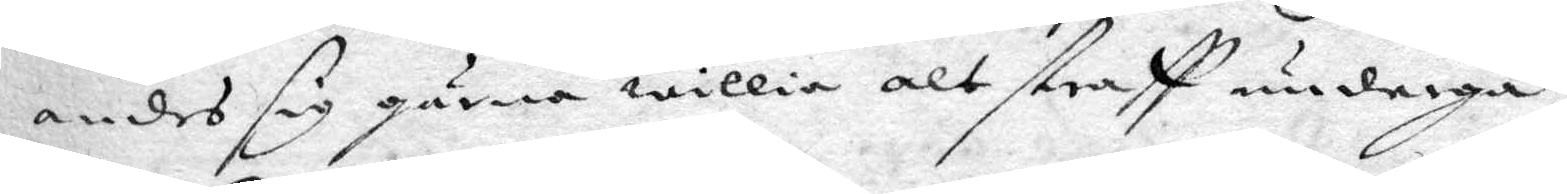andes sig gärna willia alt straff undergå,
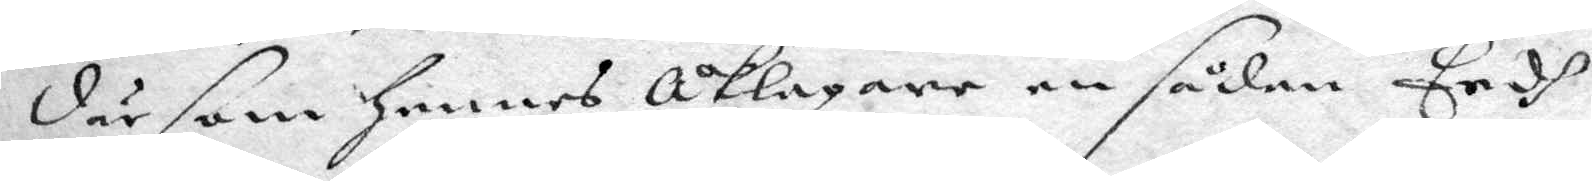där som hennes Åklagare en sådan Eedh
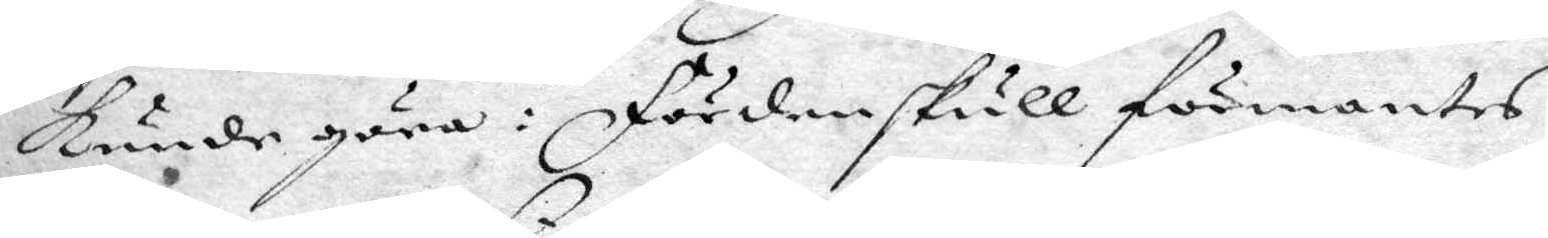kunde göra: Förden skull förmantes
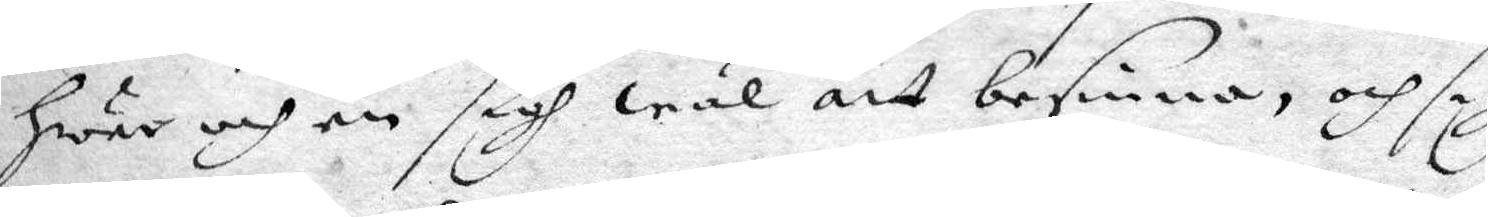hwar och en sigh wäl att besinna, och sigh
